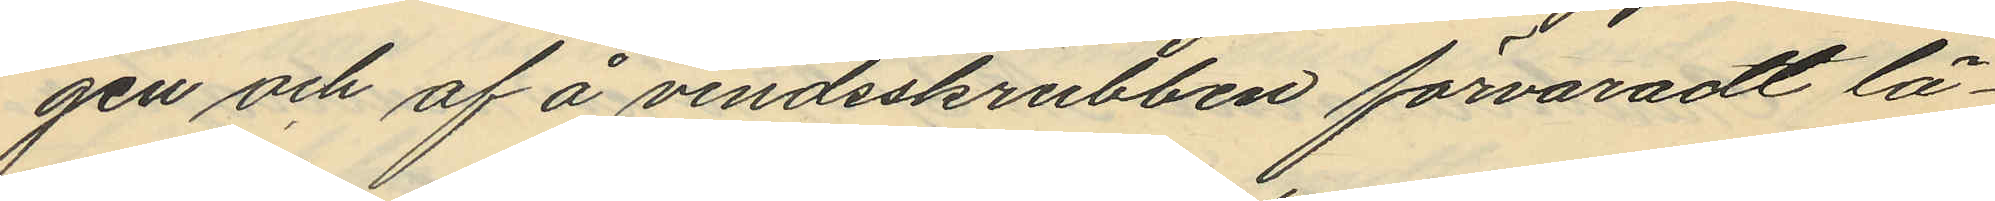gen och af å vindsskrubben förvaradt lä¬
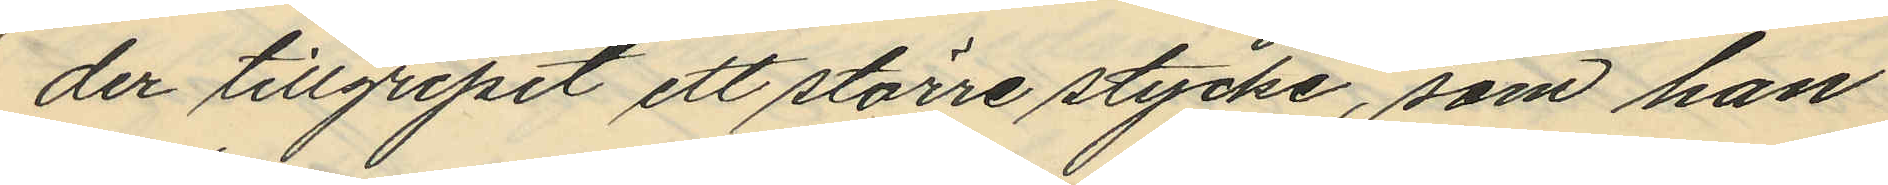der tillgripit ett större stycke, som han
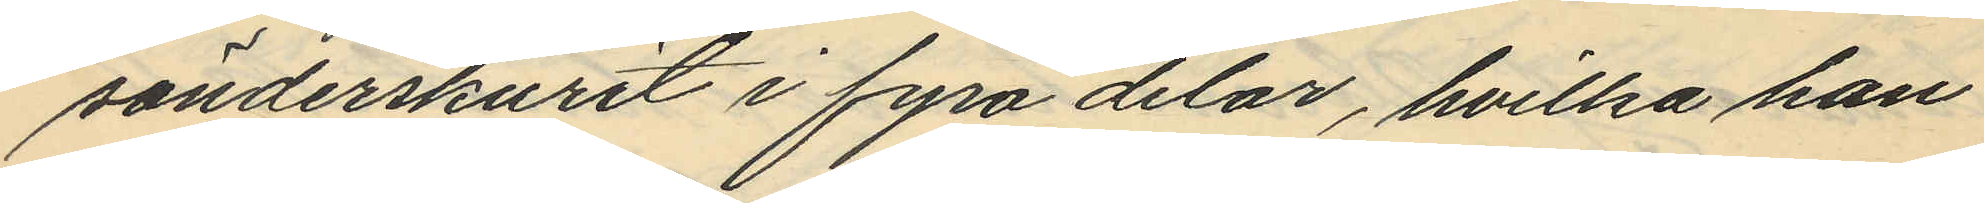sönderskurit i fyra delar, hvilka han
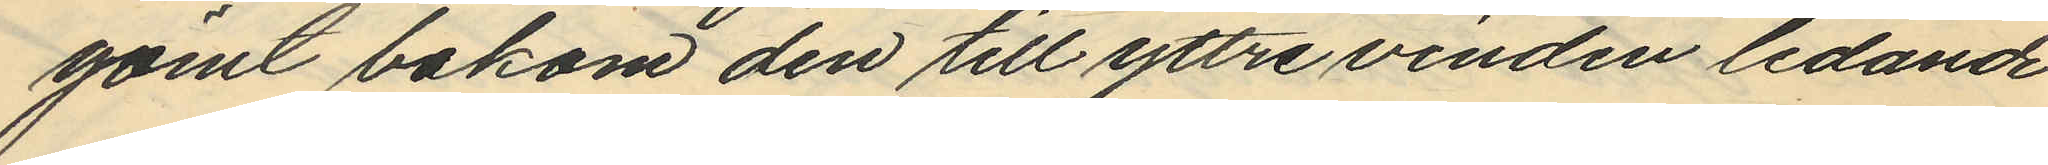gömt bakom den till yttre vinden ledande
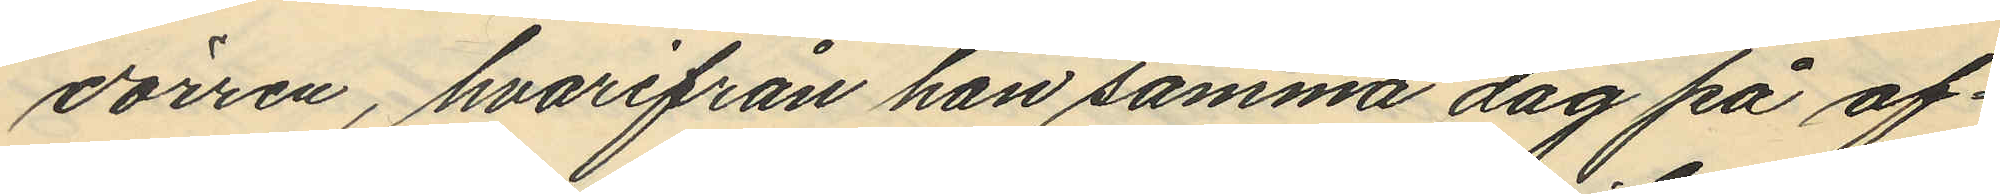dörren, hvarifrån han samma dag på af¬
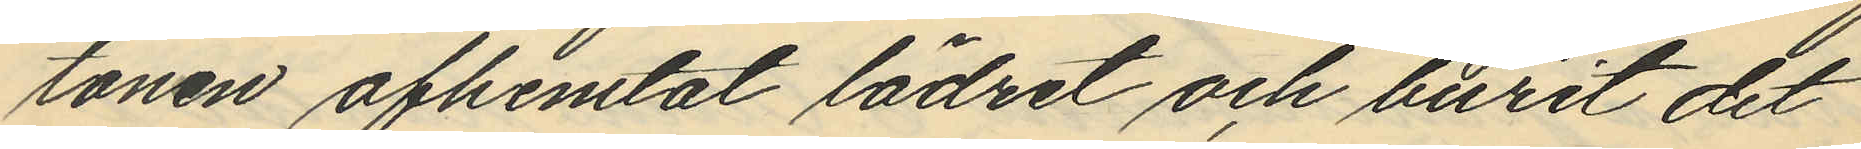tonen afhemtat lädret och burit det
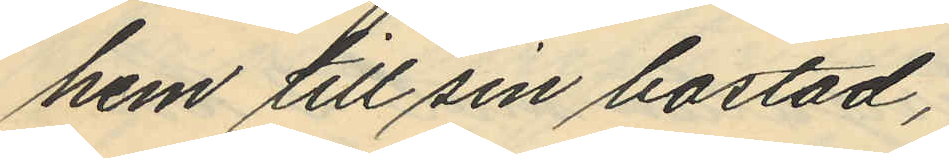hem till sin bostad;
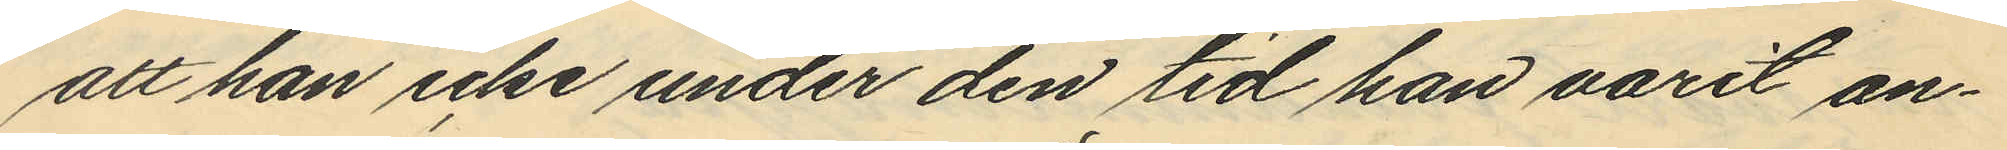att han icke under den tid han varit an¬
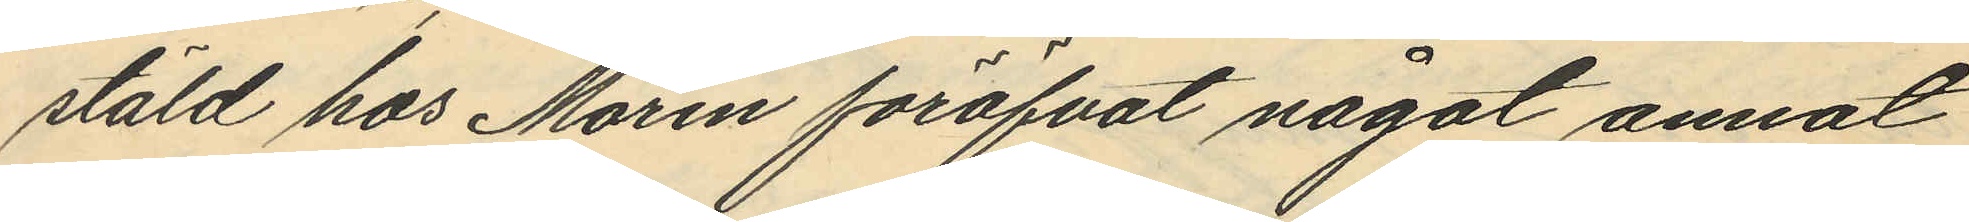stäld hos Morin föröfvat något annat
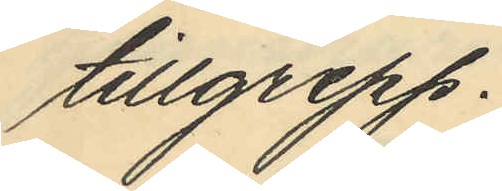tillgrepp.
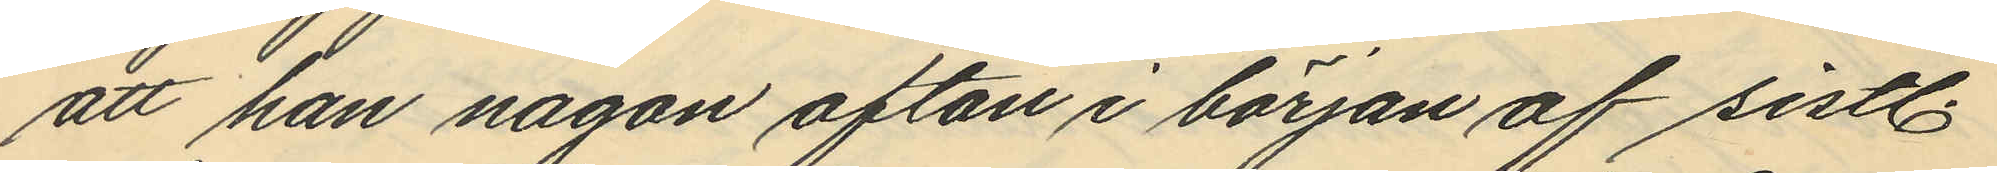att han någon afton i början af sistl.
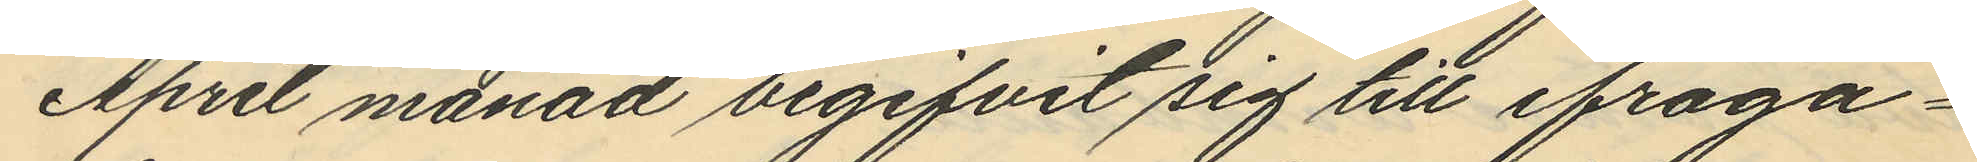April månad begifvit sig till ifråga¬
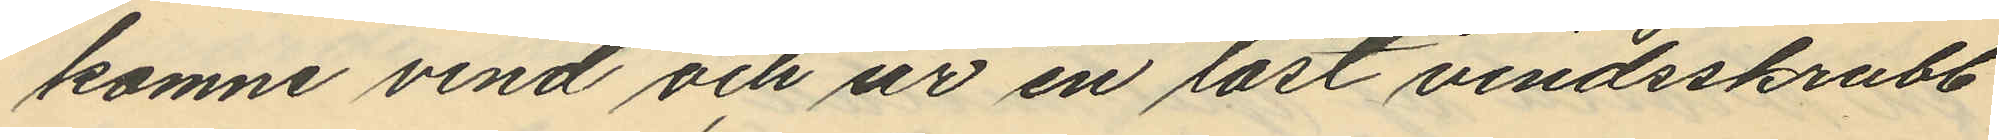komne vind och ur en låst vindsskrubb
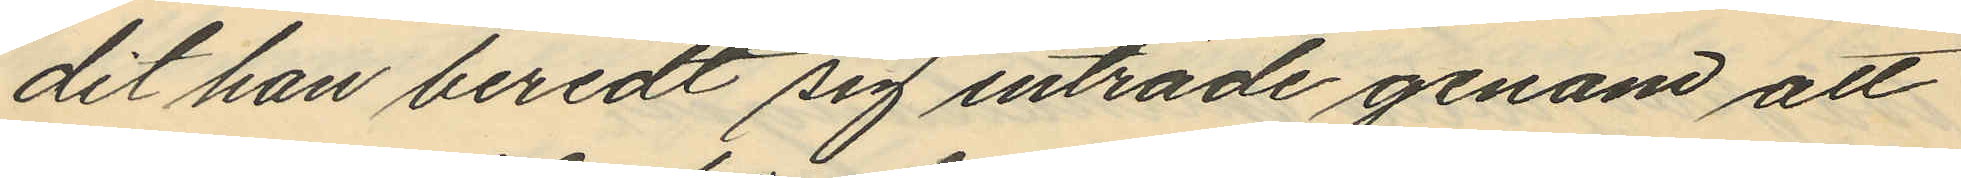dit han beredt sig inträde genom att
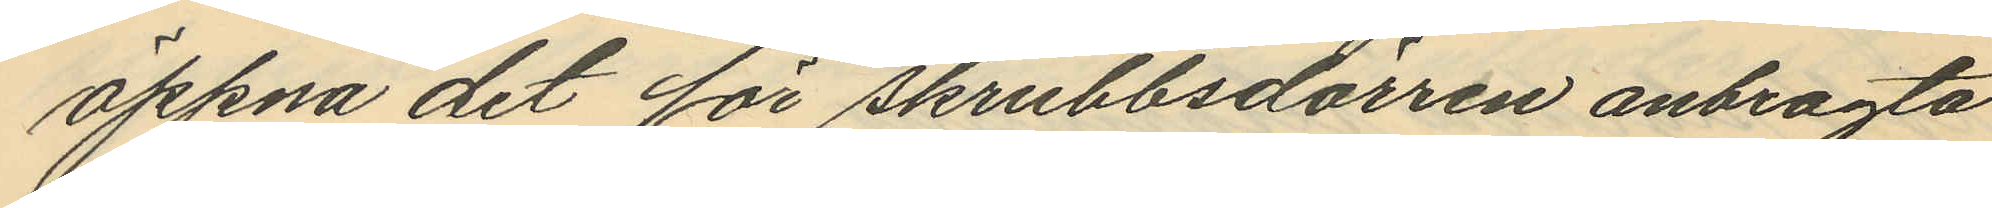öppna det för skrubbsdörren anbragta
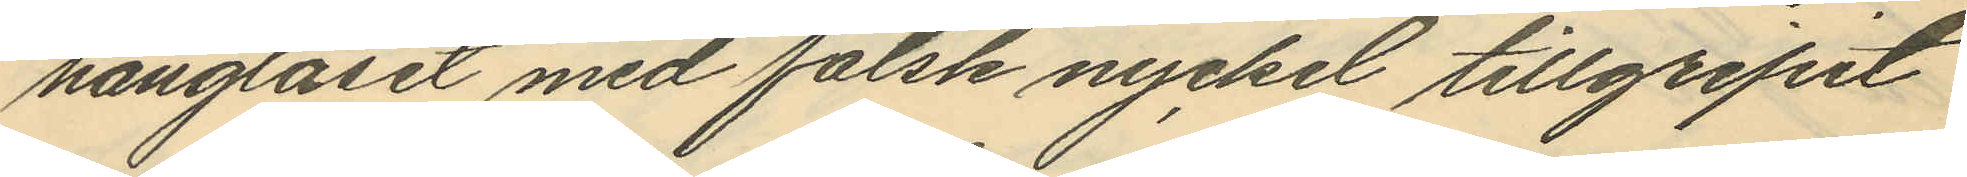hänglåset med falsk nyckel tillgripit
